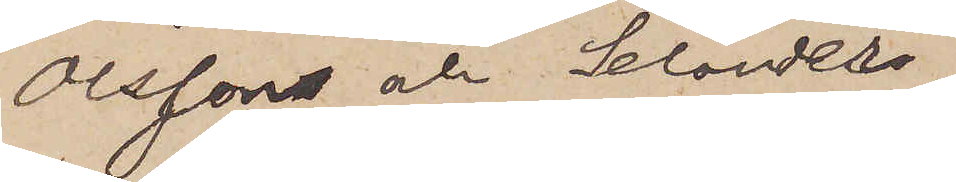Olsson och Selander,
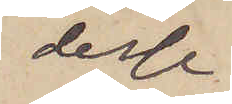desse
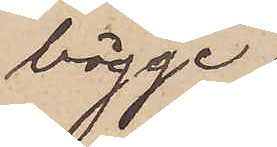bägge
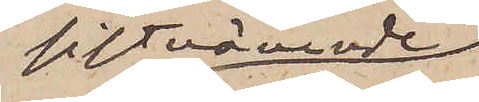sistnämnde
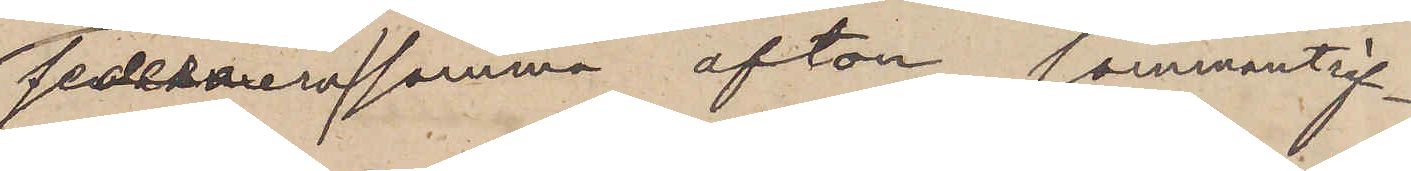sedermera samma afton sammanträf¬
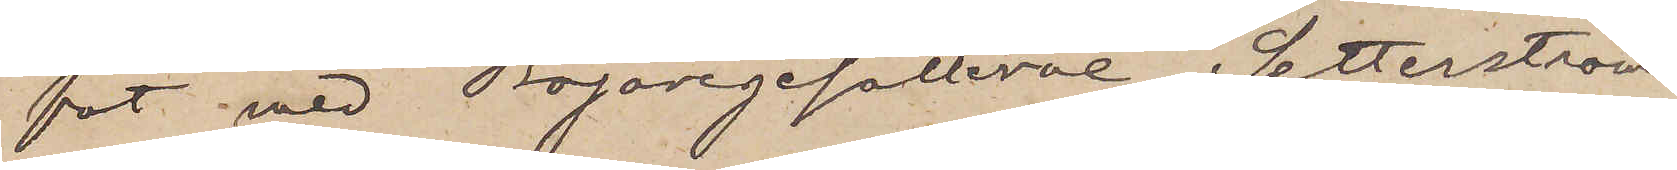fat med Bagaregesällerne Setterström,
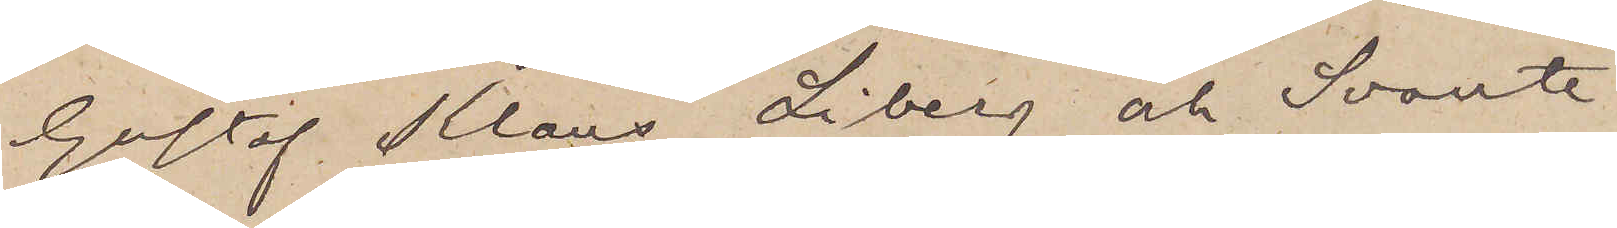Gustaf Klaus, Liberg och Svante
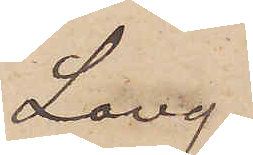Lang
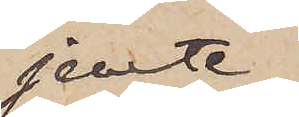jemte
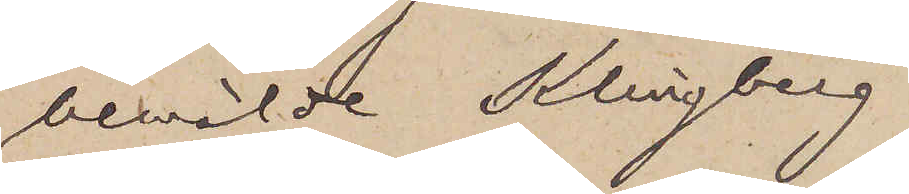bemälde Klingberg
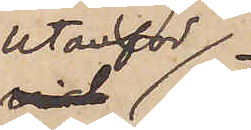utanför
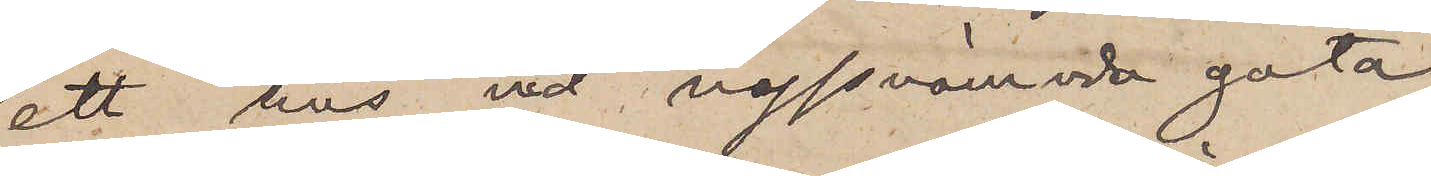ett hus vid nyssnämnda gata
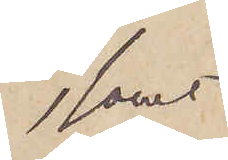samt
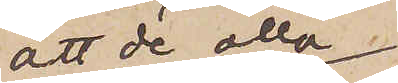att de alla
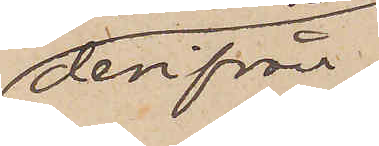derifrån
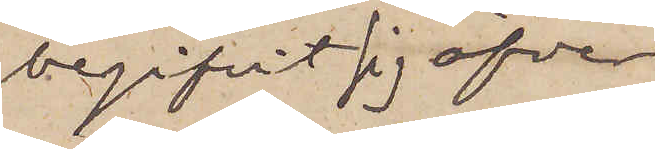begifvit sig öfver
